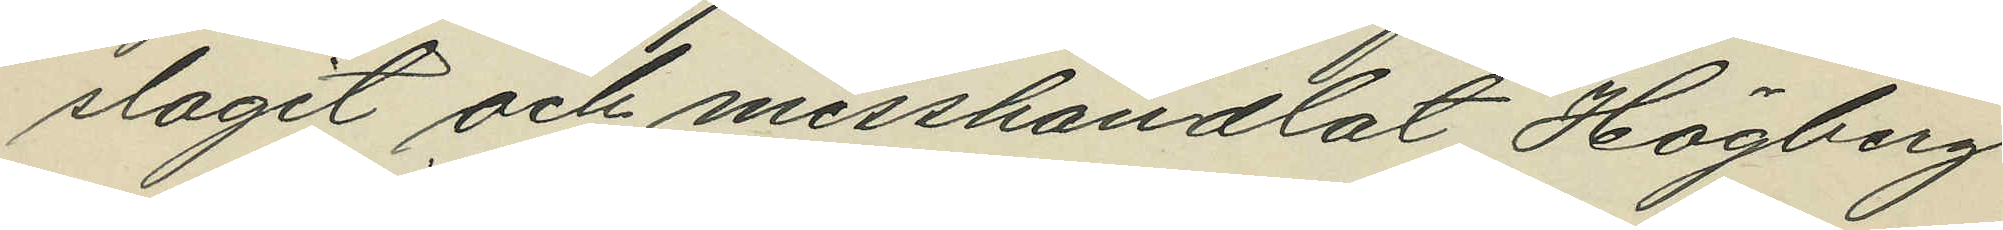slagit och misshandlat Högberg
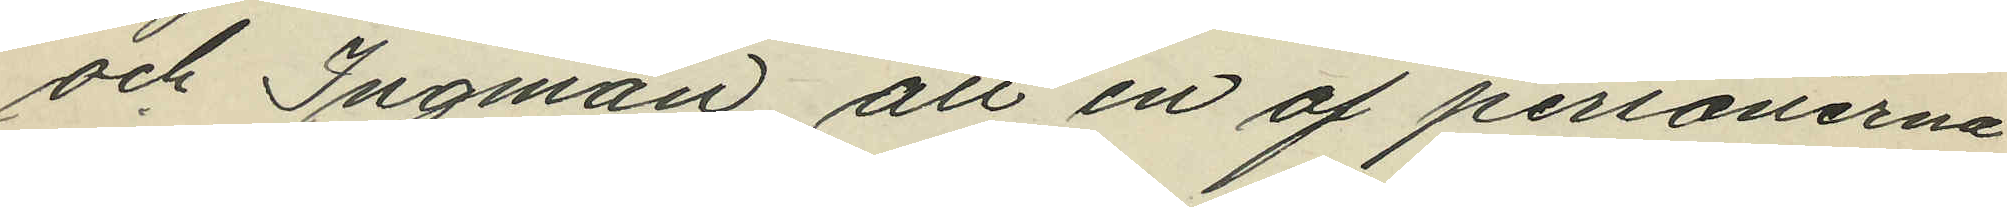och Ingman, att en af personerna
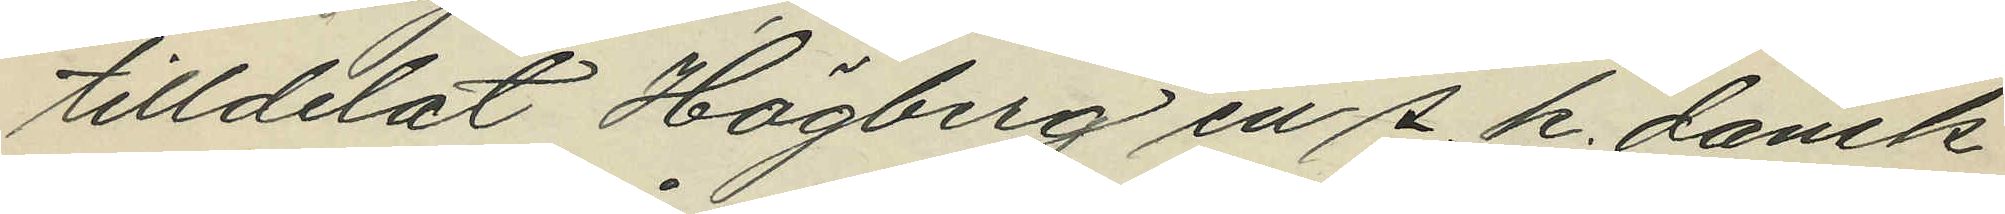tilldelat Högberg en s. k. dansk
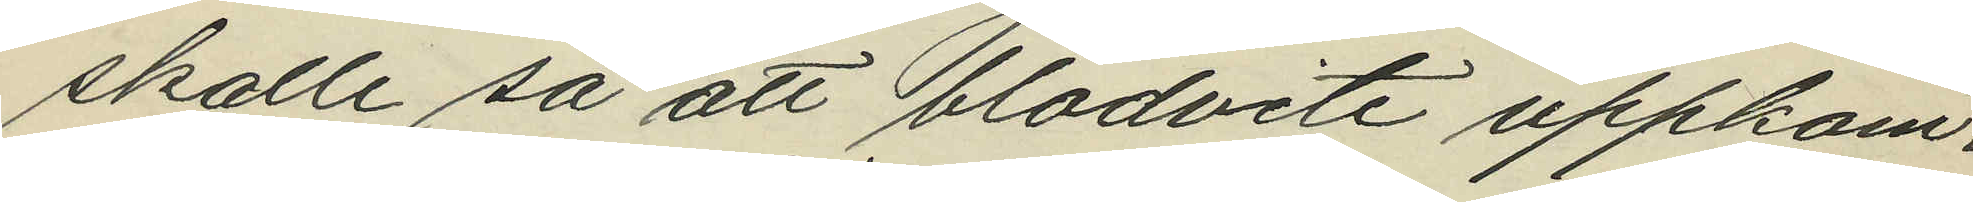skalle så att blodvite uppkom¬
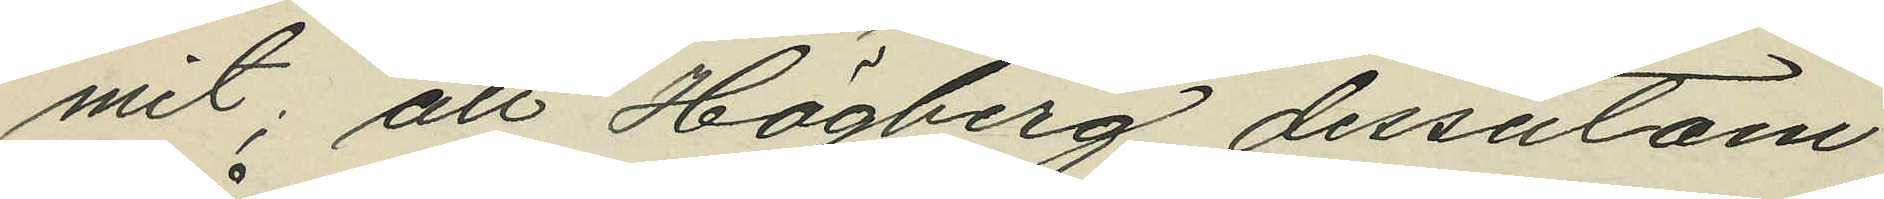mit; att Högberg dessutom
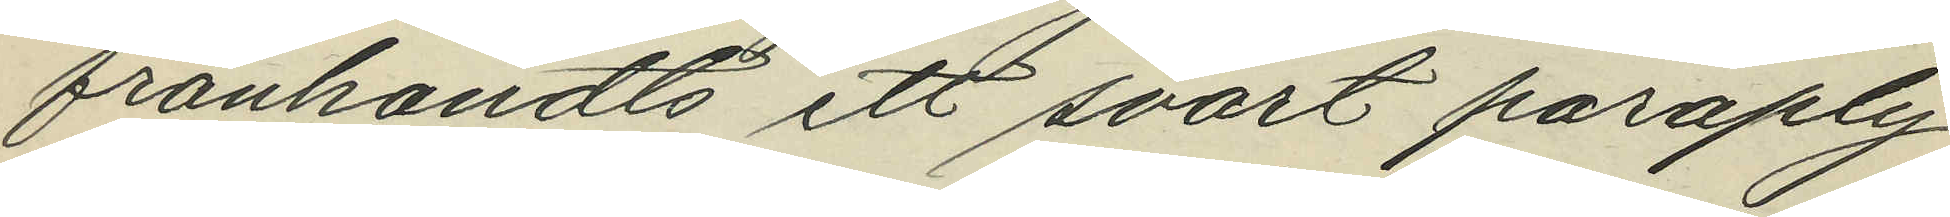frånhändts ett svart paraply
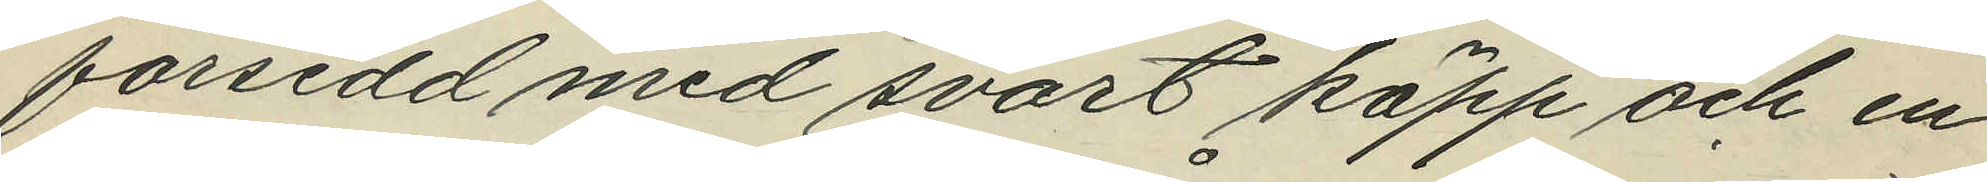forsedd med svart käpp och en
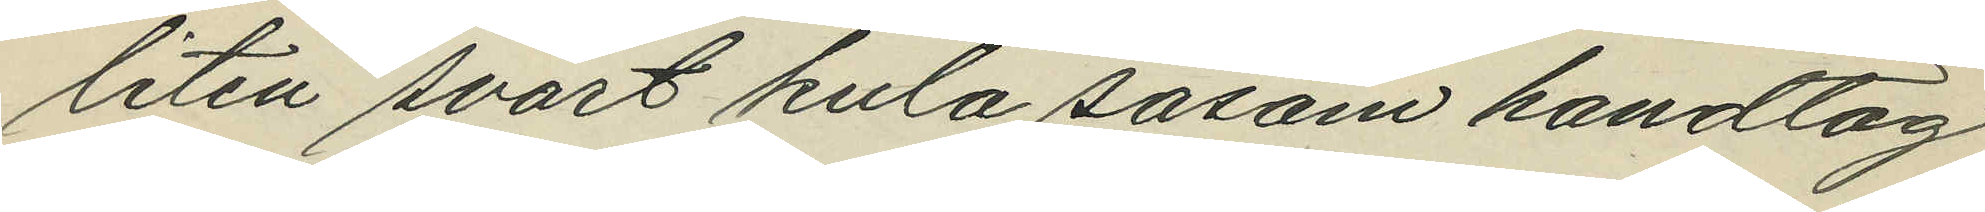liten svart kula såsom handtag
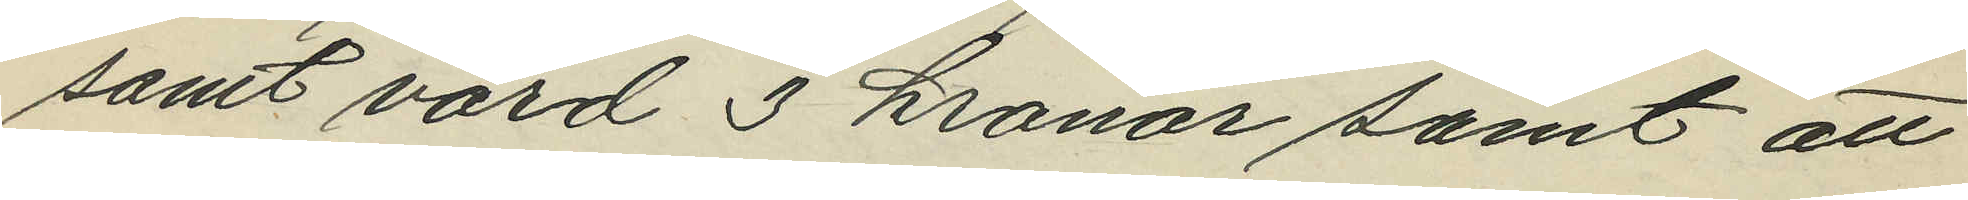samt värd 3 kronor samt att
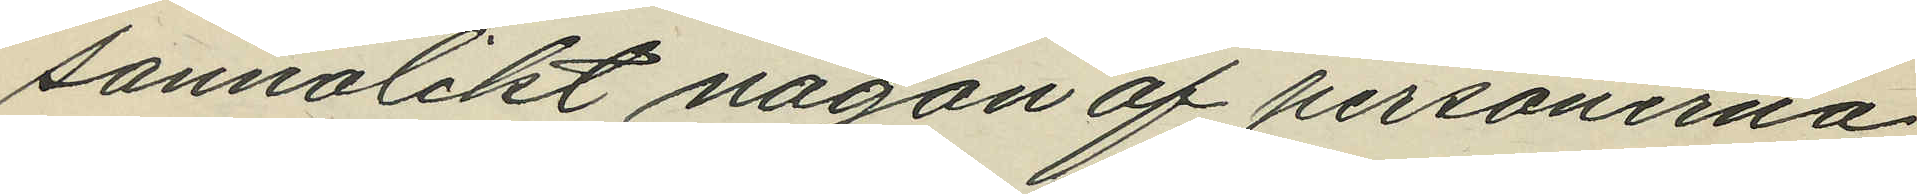sannolikt någon af personerna
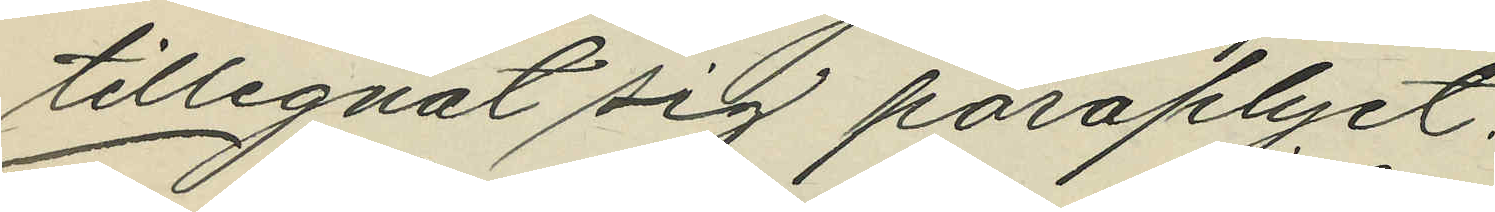tillegnat sig paraplyet.
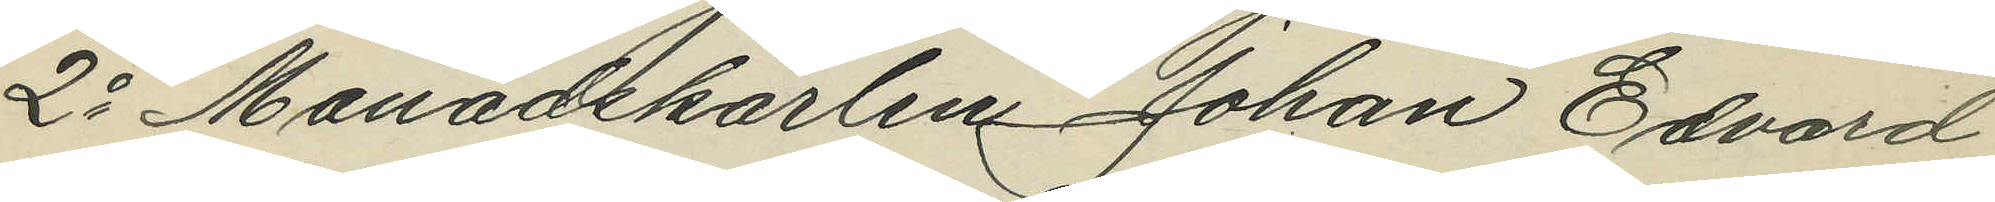2o Månadskarlen Johan Edvard
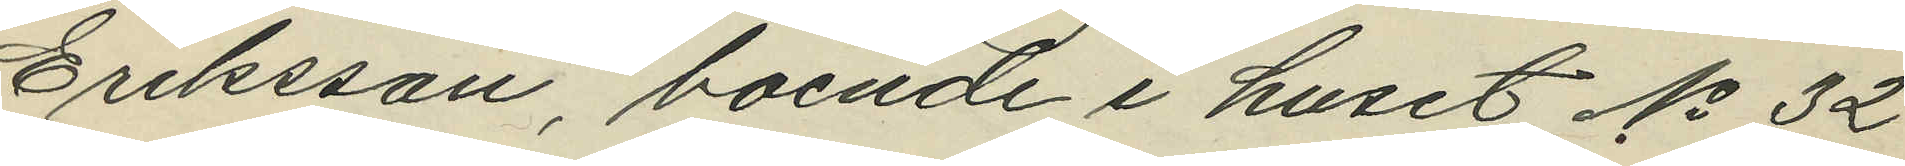Eriksson, boende i huset No 32
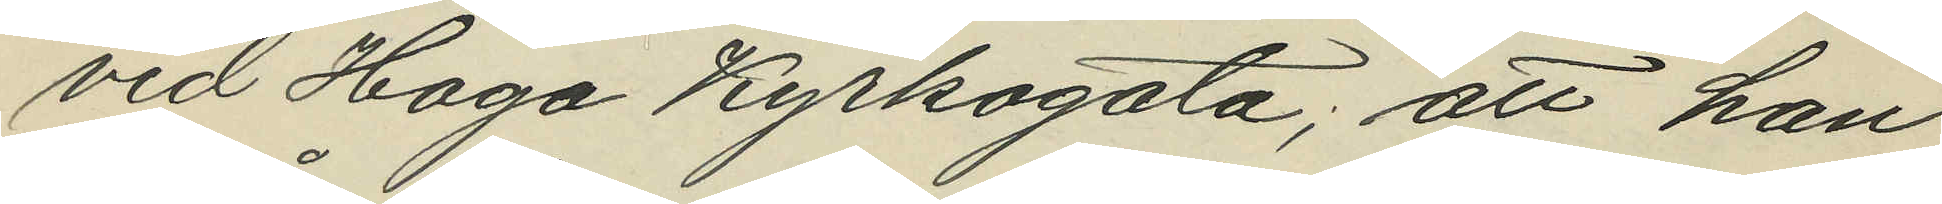vid Haga Kyrkogata; att han
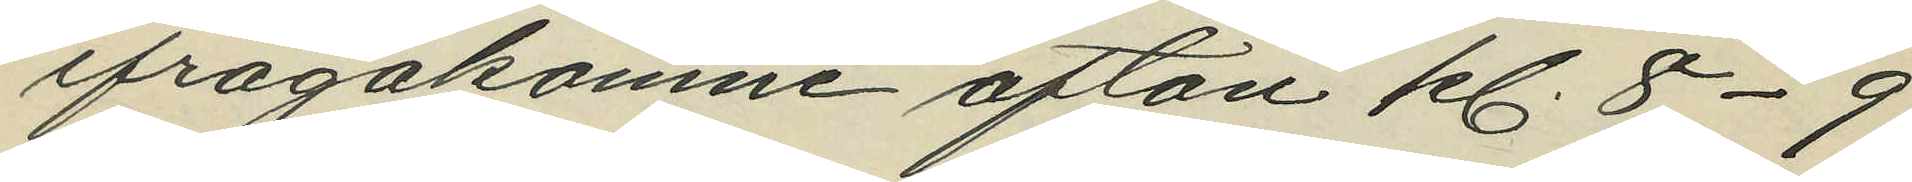ifrågakomne afton kl. 8-9
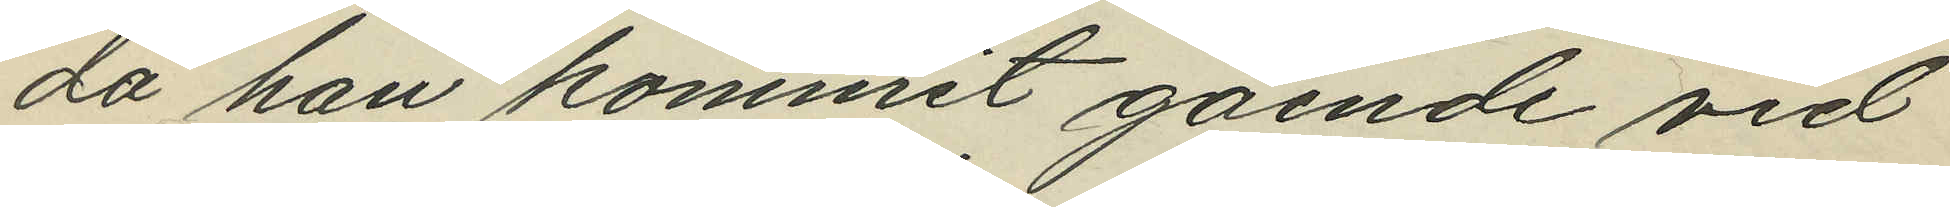då han kommit gående vid
